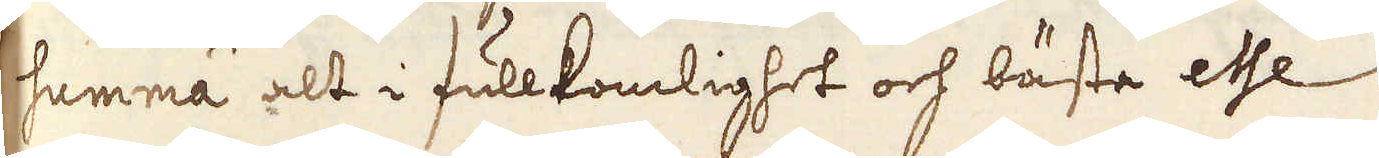summa alt i fullkomlighet och bäste esse.
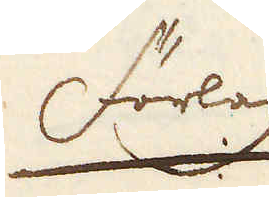Förlag
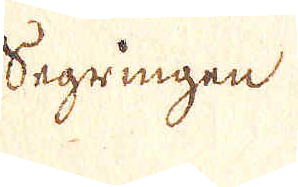Segringen.
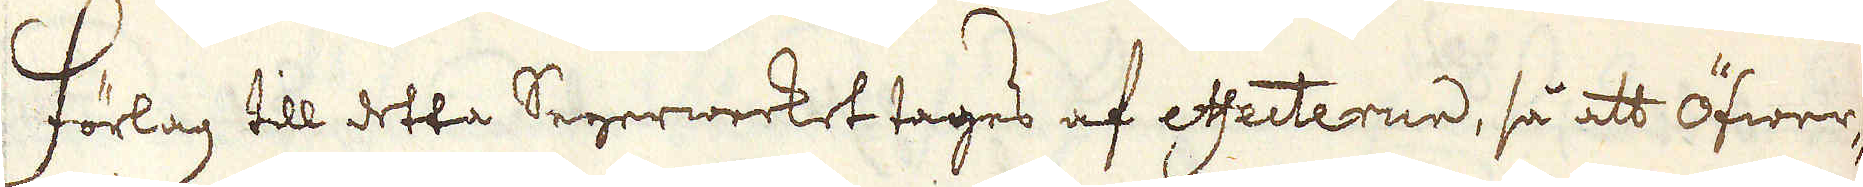Förlag till detta Segerwerket tages af effecterne, så att öfwer-
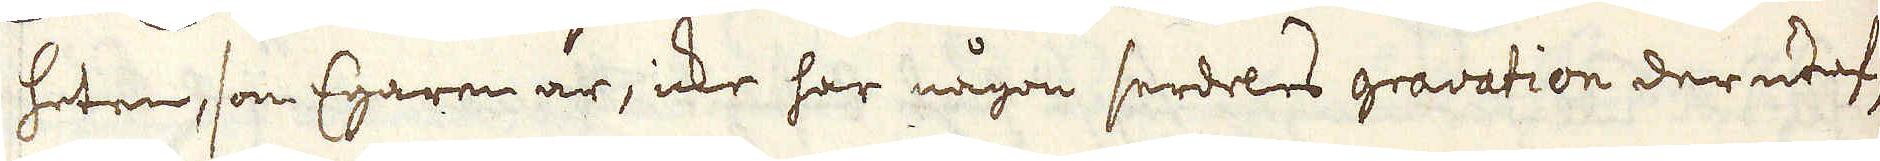heten, som Egaren är, icke har någon serdeles gravation derutaf,
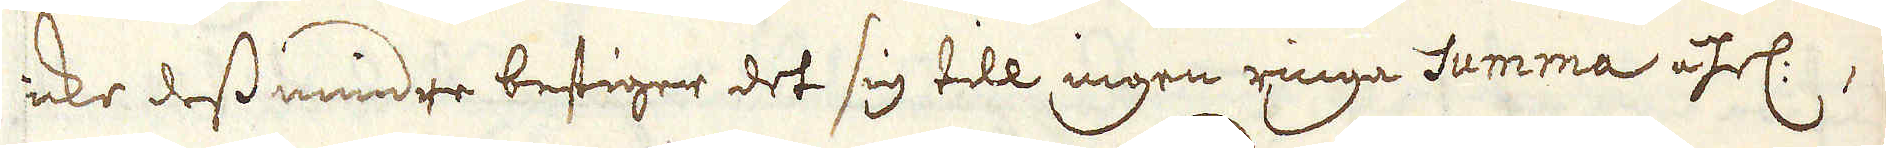icke dessmindre bestiger det sig till ingen ringa summa åhrl:,
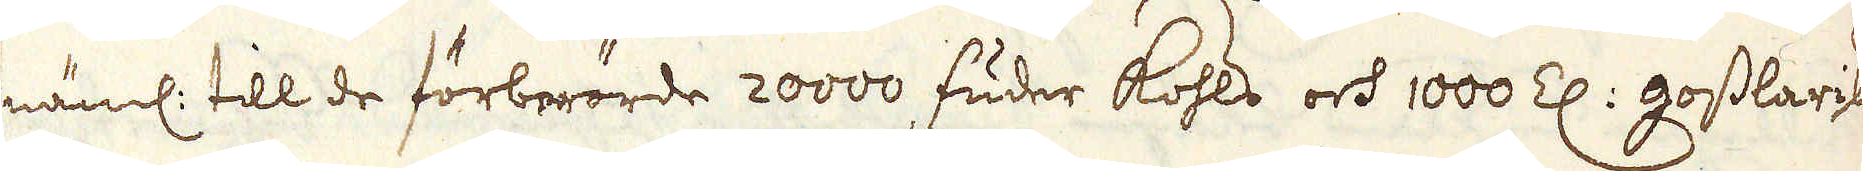näml: till de förberörde 20000 fuder kohls och 1000 Z: gosslarisk
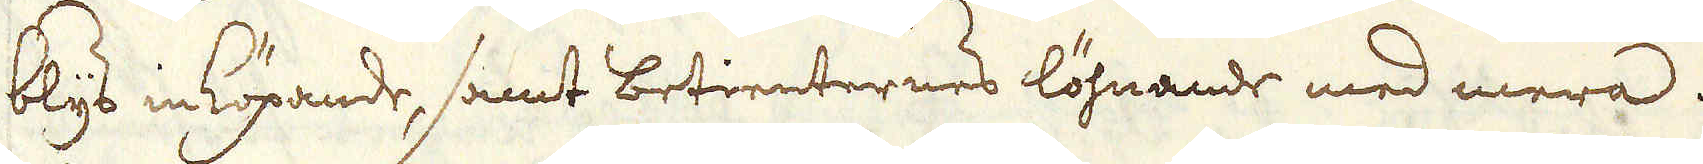blys inköpande, samt betienternes löhnande med mera.
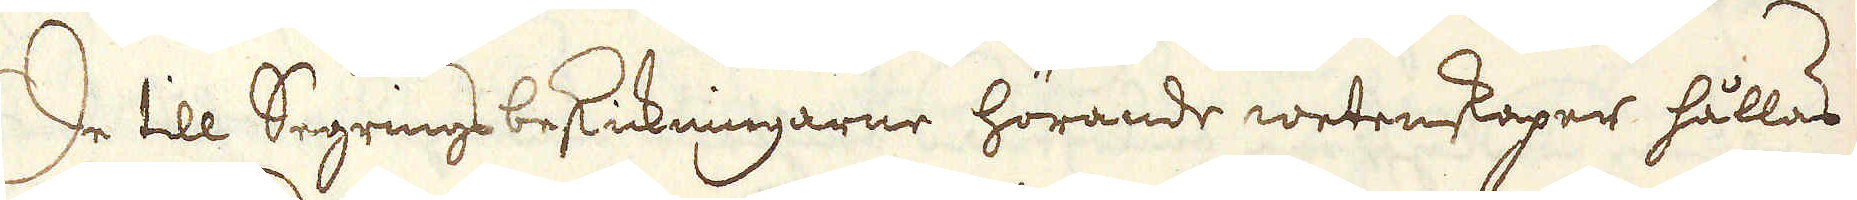De till Segrings beskickningarne hörande wetenskaper hållas
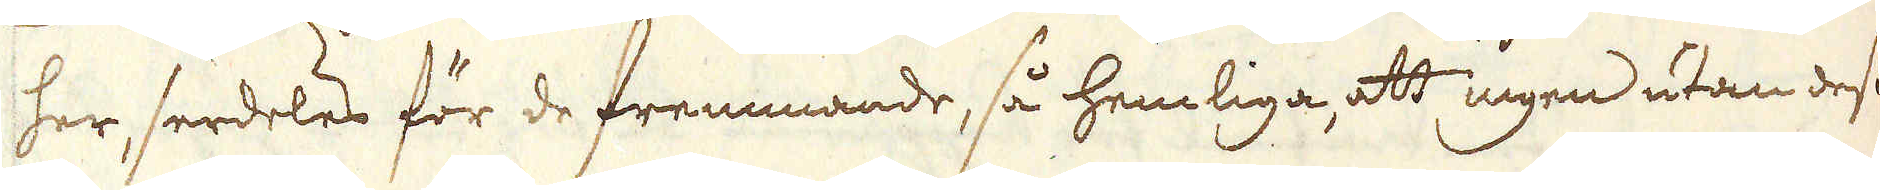her, serdeles för de fremmande, så hemliga, att ingen utan des
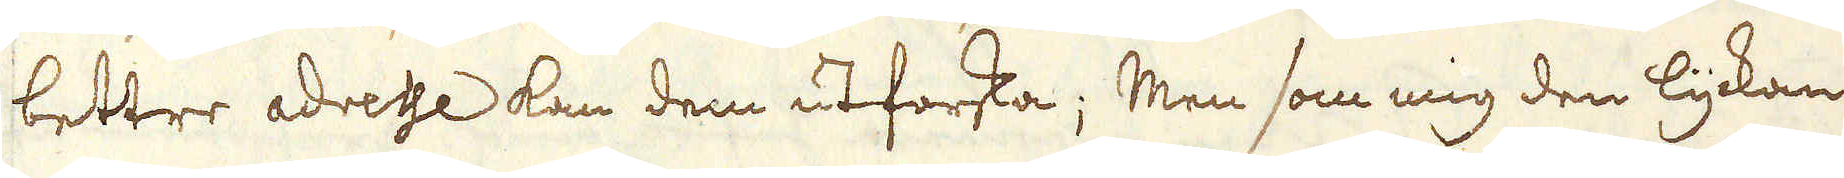bettre adresse kan dem utforska; Men som mig den lyckan
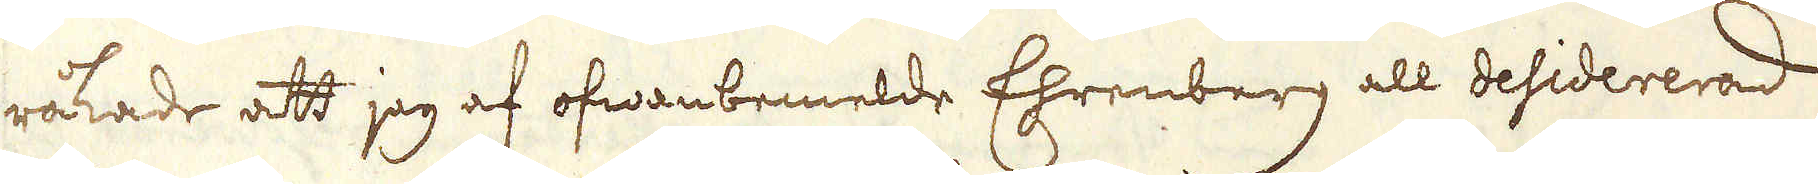råkade att jag af ofwanbemelde Ehrenberg all desidererad
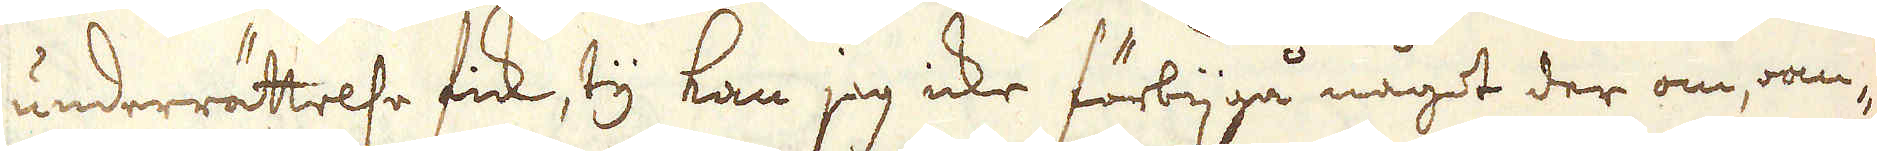underrättelse fick, ty kan jag icke förbijgå något der om, an-
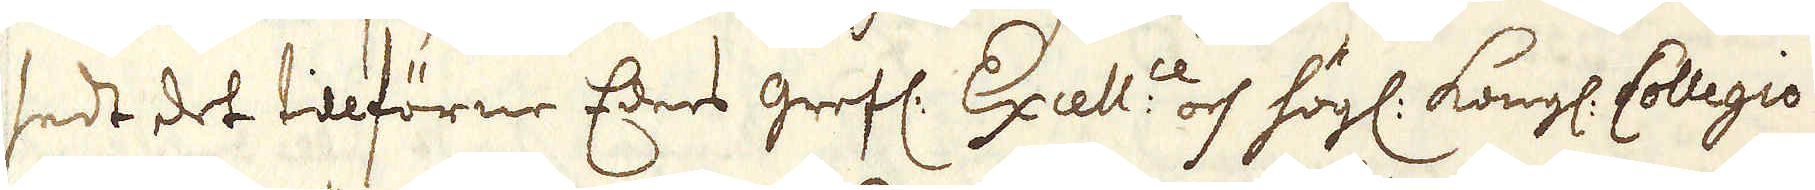sedt det tillförne Eders grefl: Exell:ce och högl. Kongl. Collegio
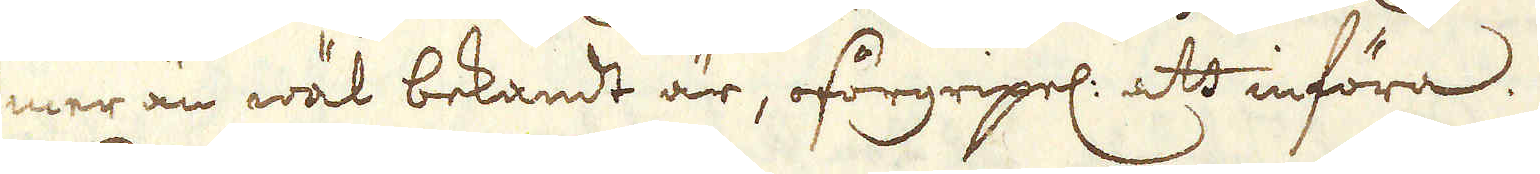mer än wäl bekandt är, oförgripel: att införa.
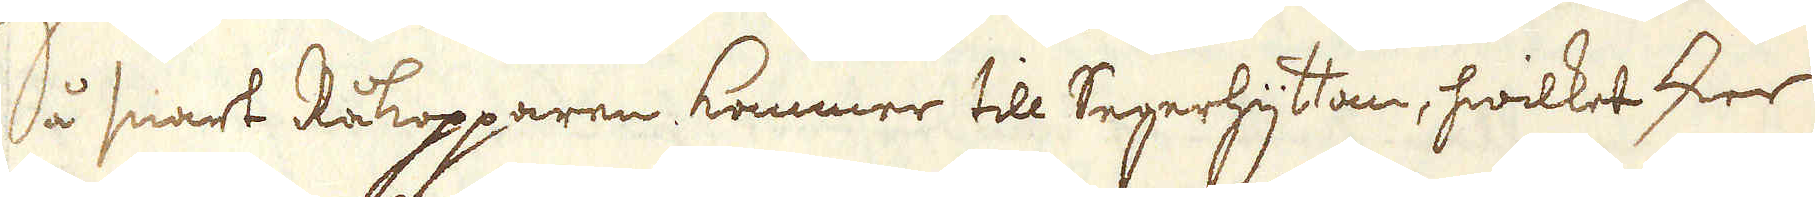Så snart Råkopparen kommer till Segerhyttan, hwilket sker
